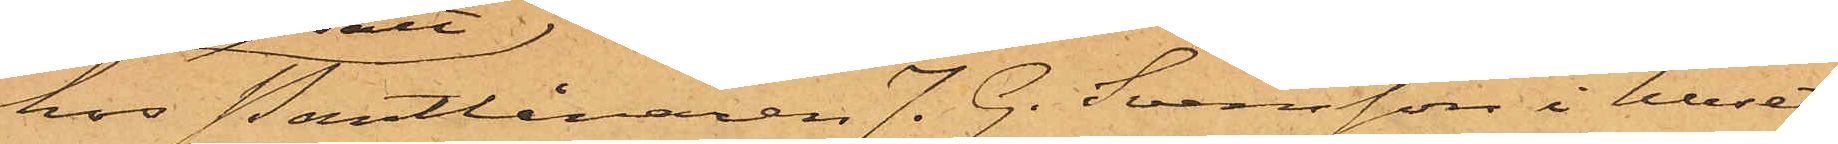hos Pantlånaren J. G. Svensson i huset
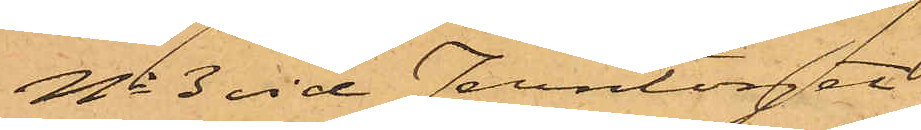No 3 vid Jerntorget
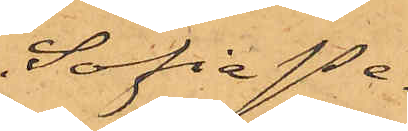Sofia Pe¬
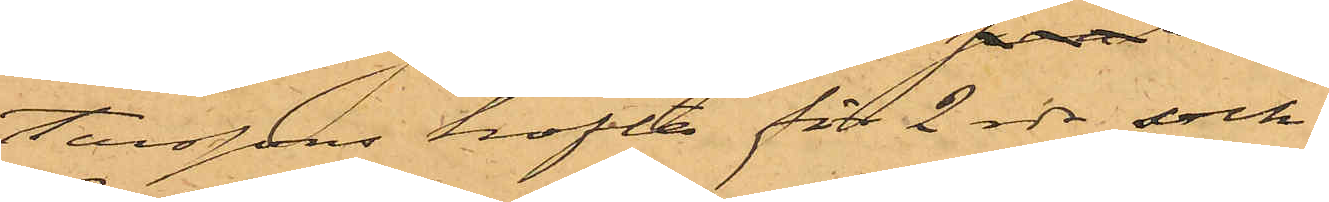terssons kofta för 2 rdr, och
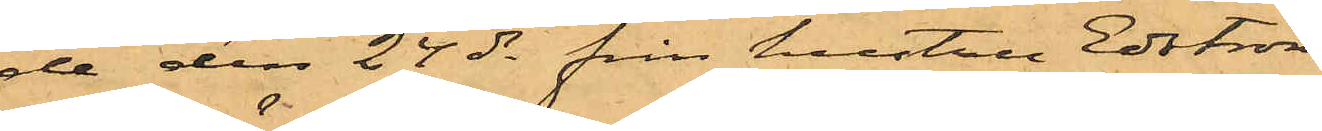de den 24 ds från hustru Edström
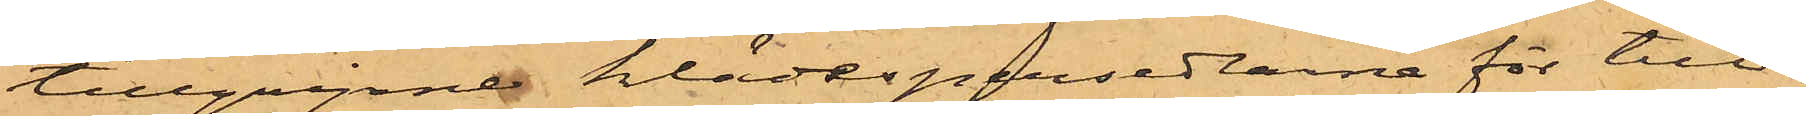tillgripne klädespersedlarne för till¬
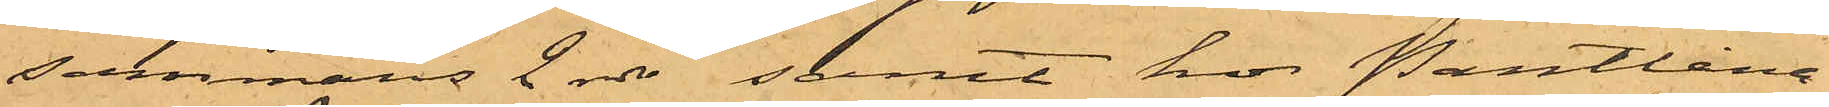sammans 2 rdr samt hos Pantlåna¬
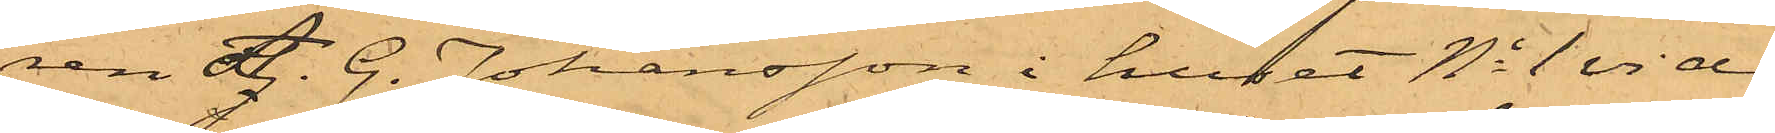ren A. G. Johansson i huset No 1 vid
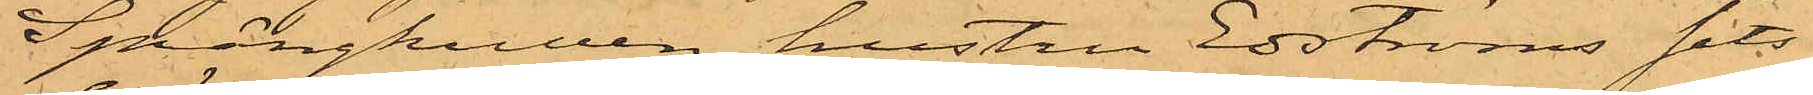Sprängkullen hustru Edströms sits¬
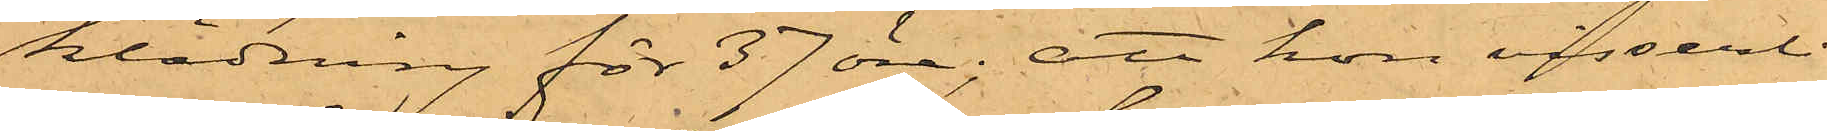klädning för 37 öre; att hon visserli¬
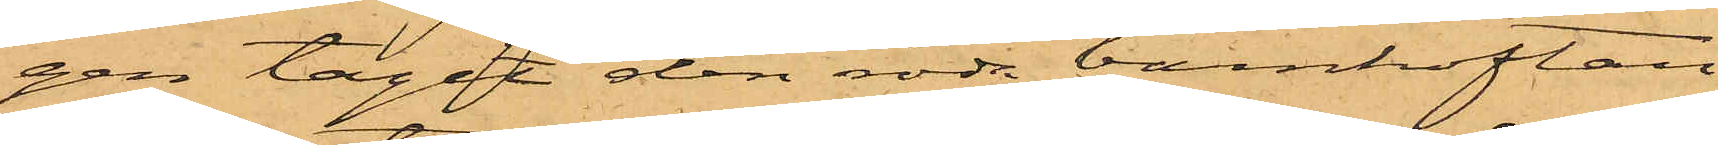gen tagit den röda barnkoftan
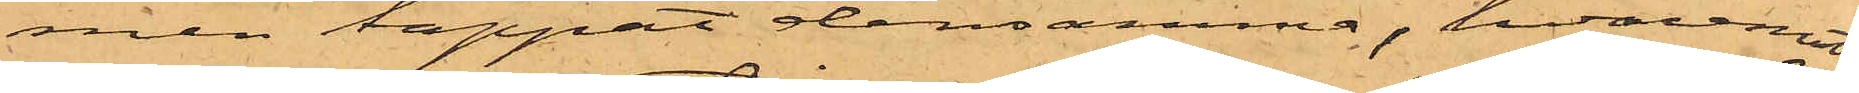men tappat densamma, hvaremot
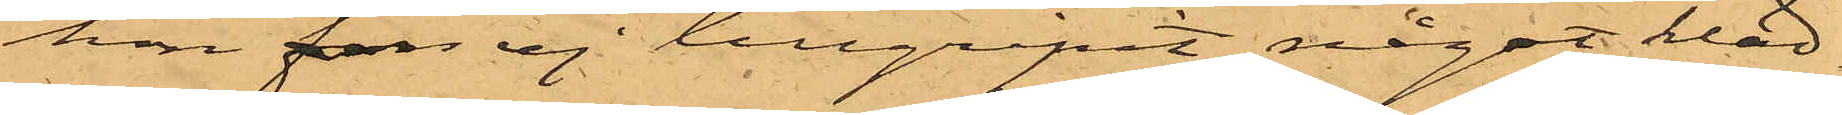hon fun ej tillgripit något kläd¬
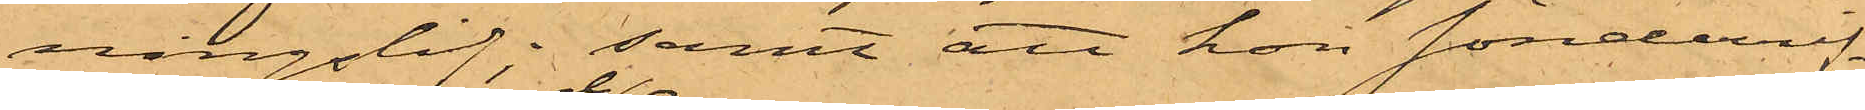ningslif; samt att hon sönderrif¬
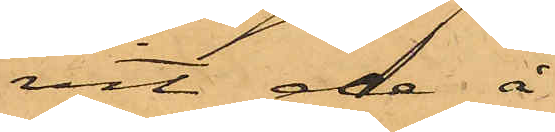vit de å
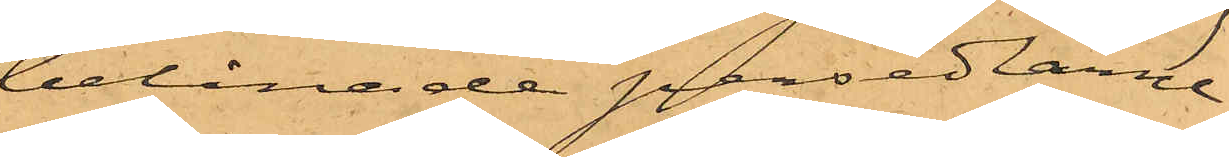belånade persedlare
